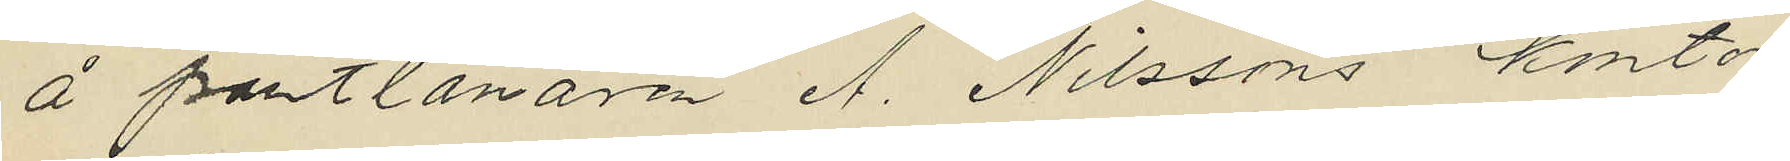å pantlånaren A. Nilssons kontor
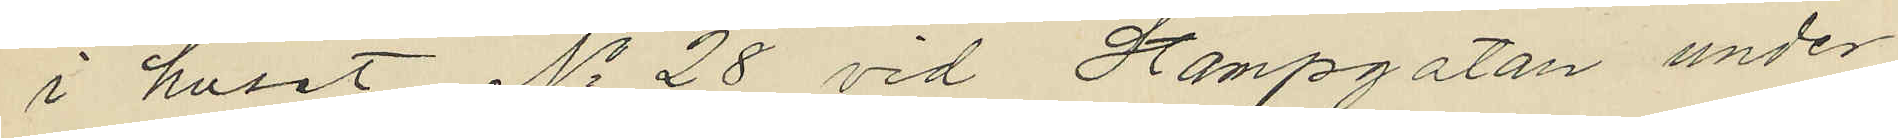i huset No 28 vid Stampgatan under
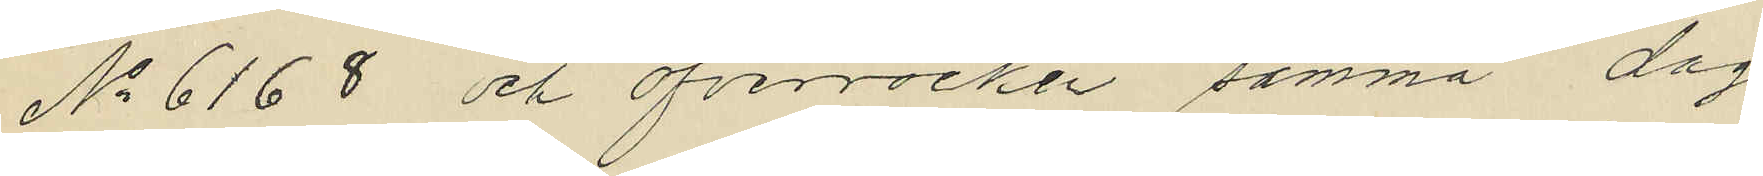No 6168 och öfverrocken samma dag
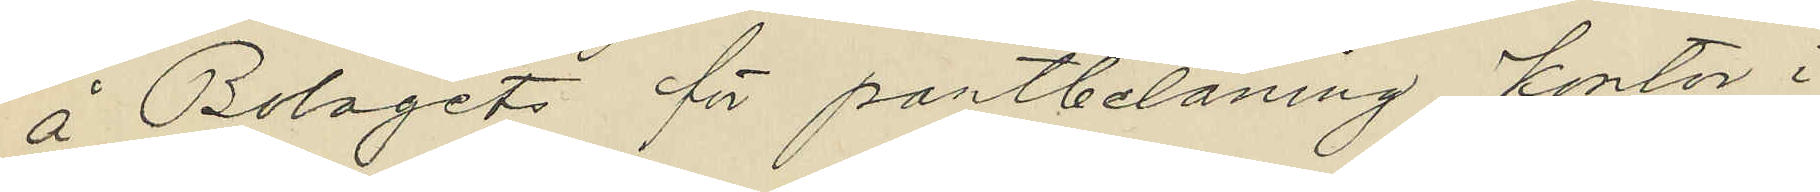å Bolagets för pantbelåning kontor i
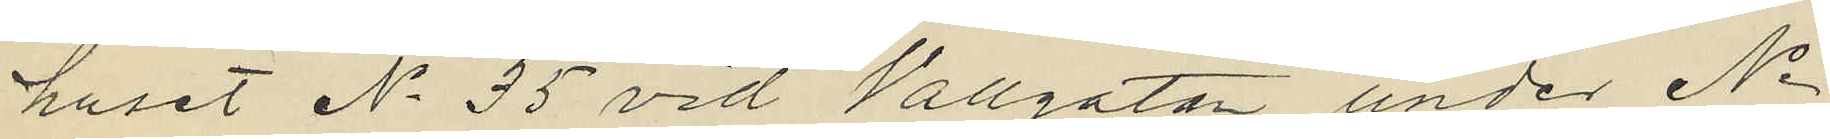huset No 35 vid Vallgatan under No
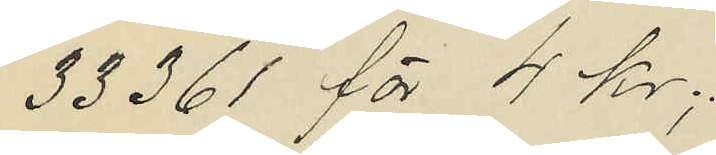33361 för 4 kr;
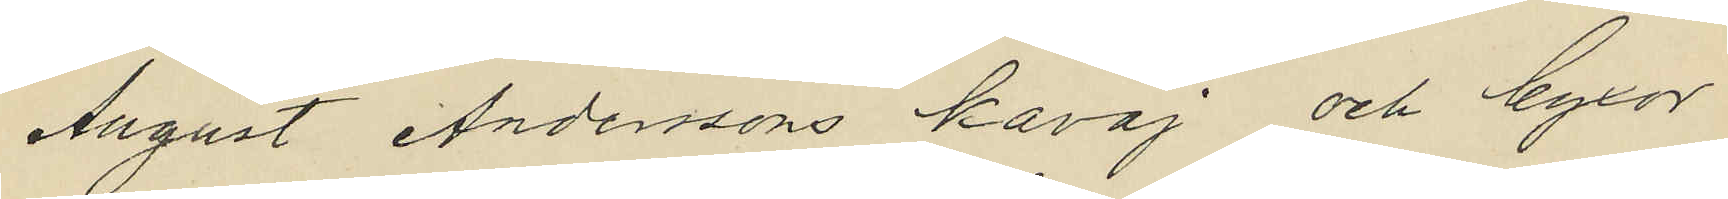August Anderssons kavaj och byxor
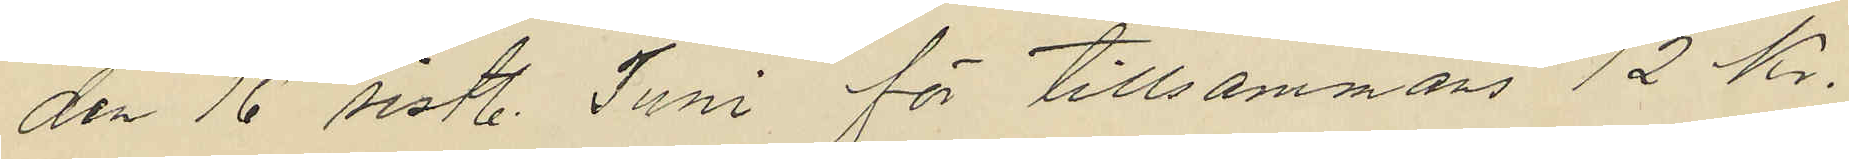den 16 sistl. Juni för tillsammans 12 Kr.
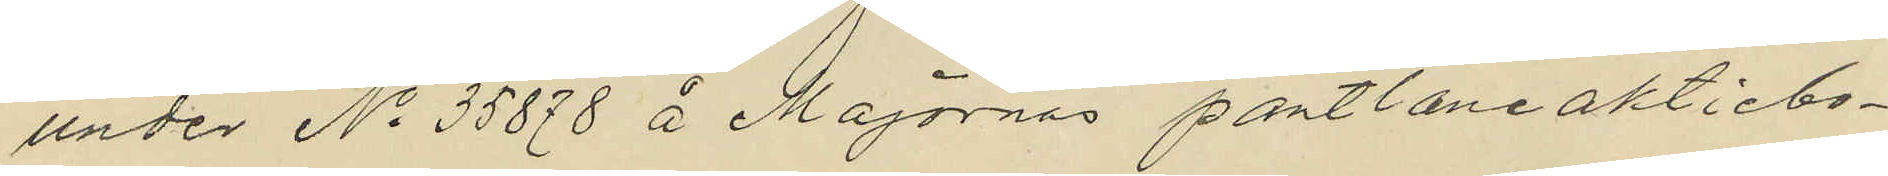under No 35878 å Majornas pantlåneaktiebo¬
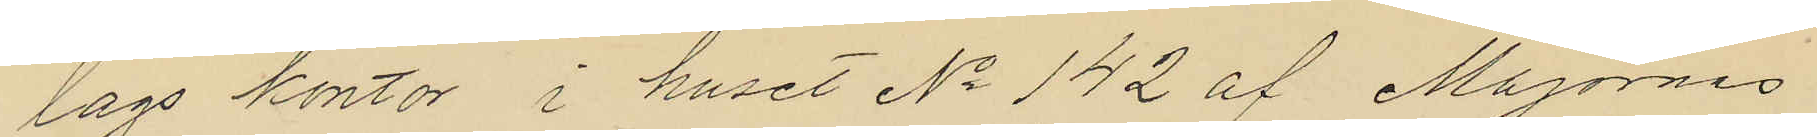lags kontor i huset No 142 af Majornas
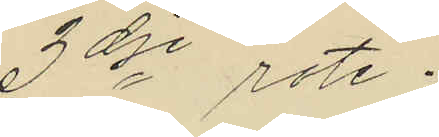3dje rote;
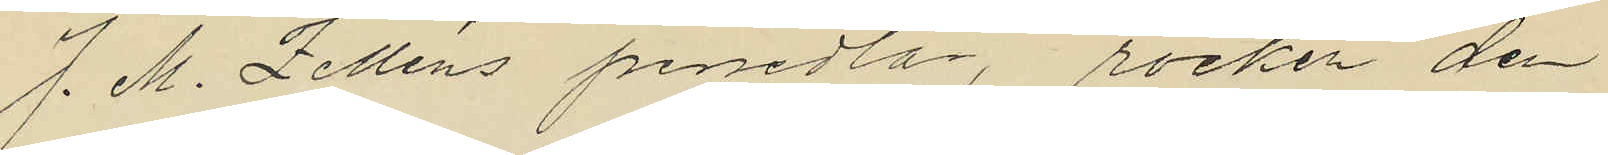J. M. Zelléns persedlar, rocken den
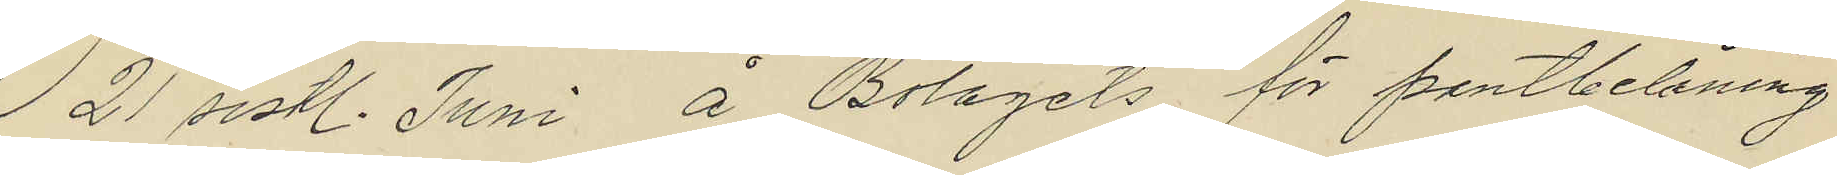21 sistl. Juni å Bolagets för pantbelåning
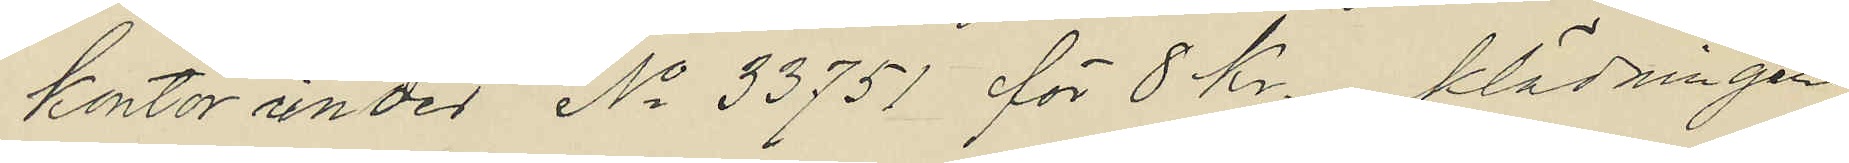kontor under No 33751 för 8 kr. klädningen
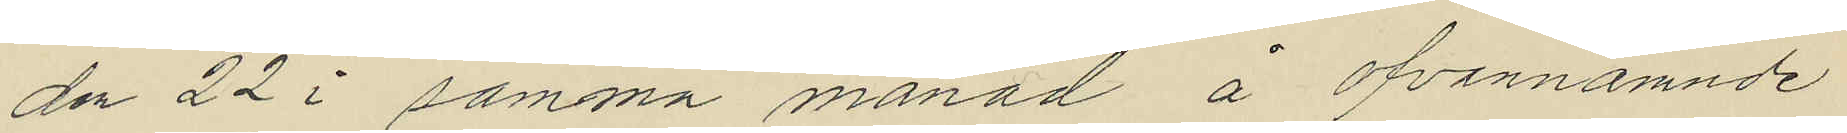den 22 i samma månad å ofvannämnde
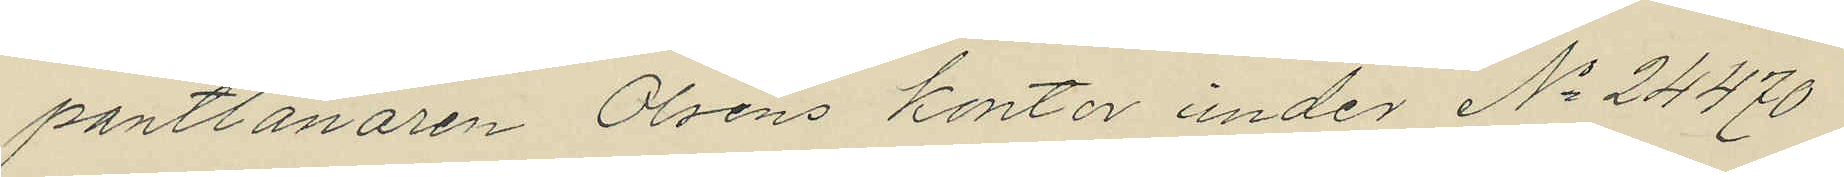pantlånaren Olséns kontor under No 24470
